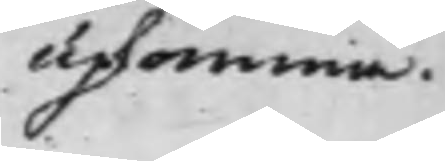upkomma.
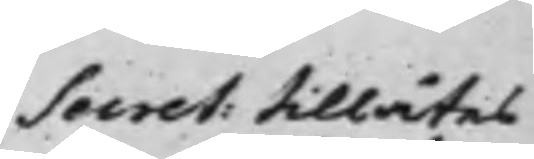Secret: tillåtes
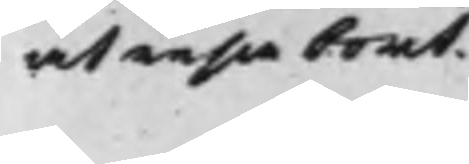at resa bort.
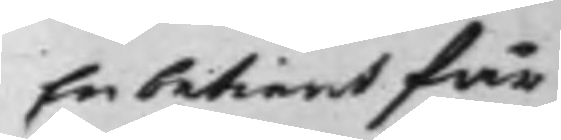En betient får
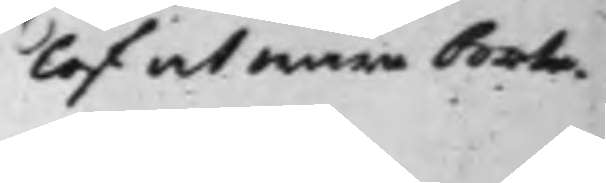lof at wara borta
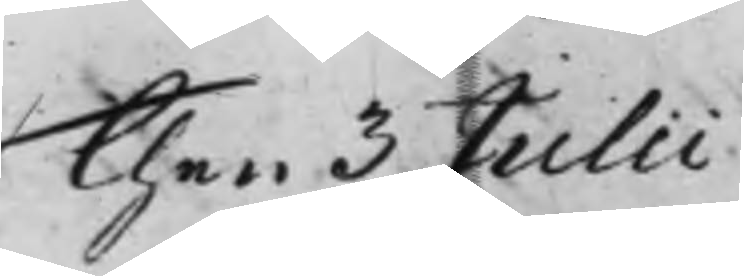Then 3 Julii
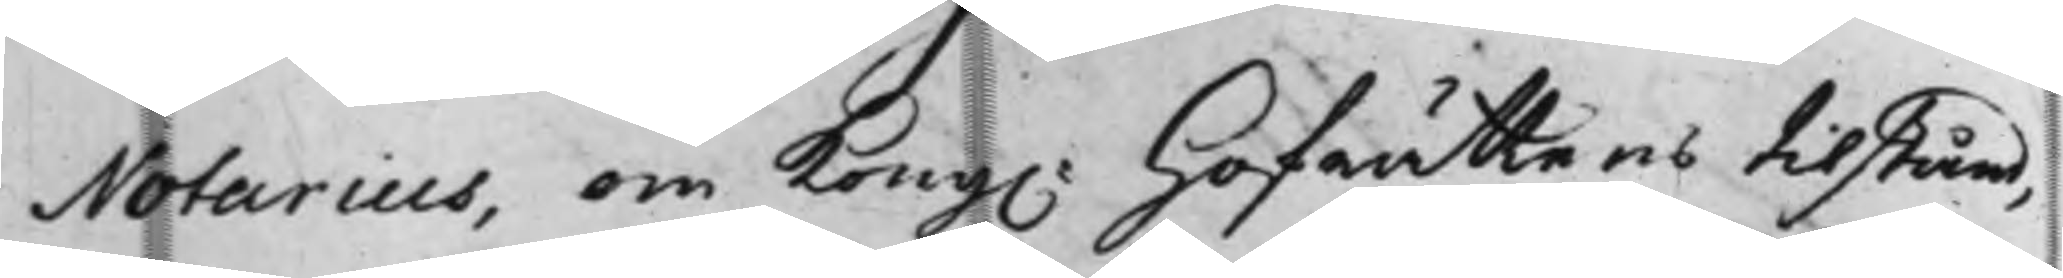Notarius, om Kong. Hoffrättens tillstånd,
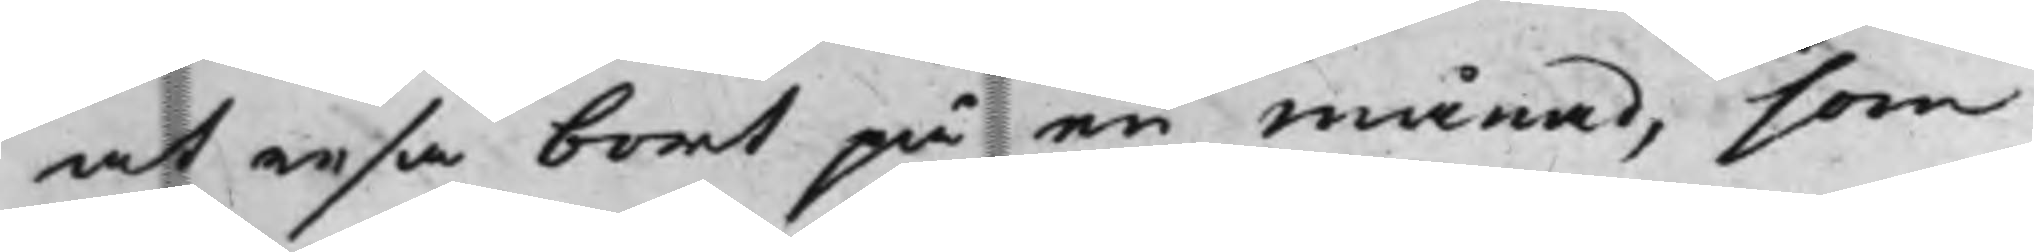at resa bort på en månad, som
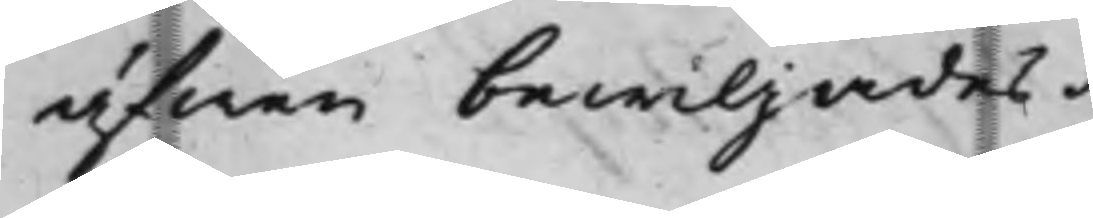äfwen bewiljades.
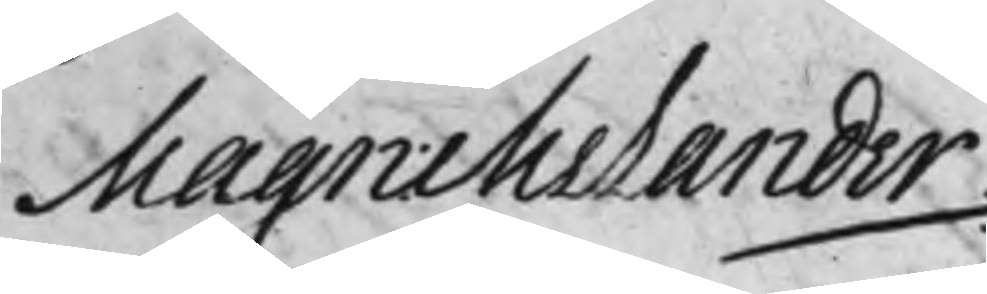Magn: Melander
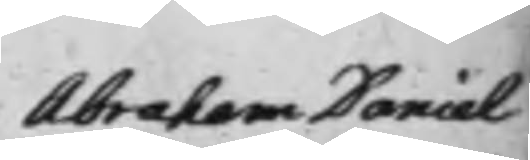Abraham Daniel
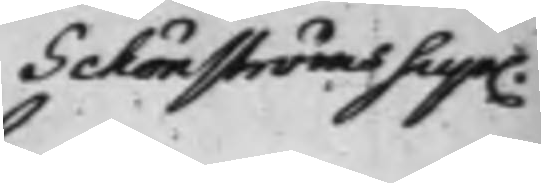Schönströms Sup.
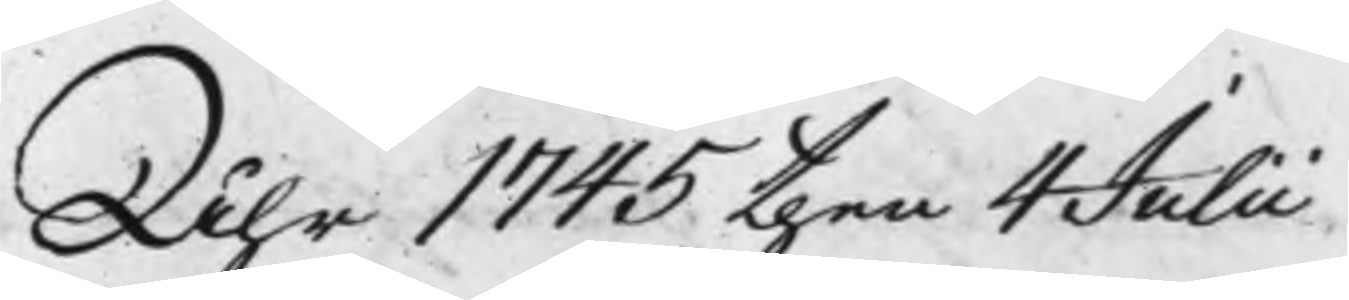Åhr 1745 then 4 Julii
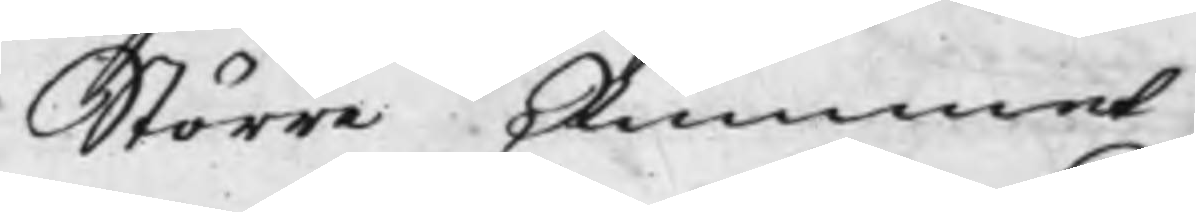Större Rummet
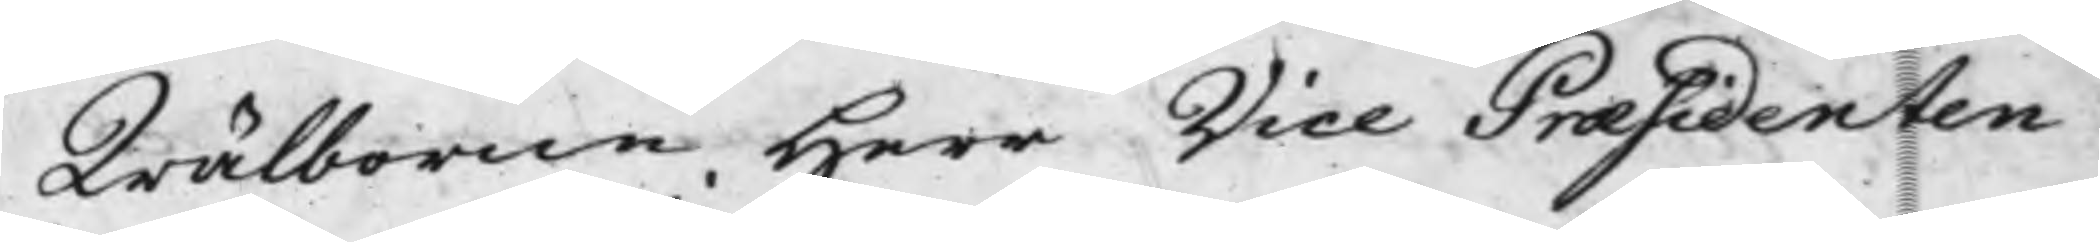Wälborne Herr Vice Praesidenten
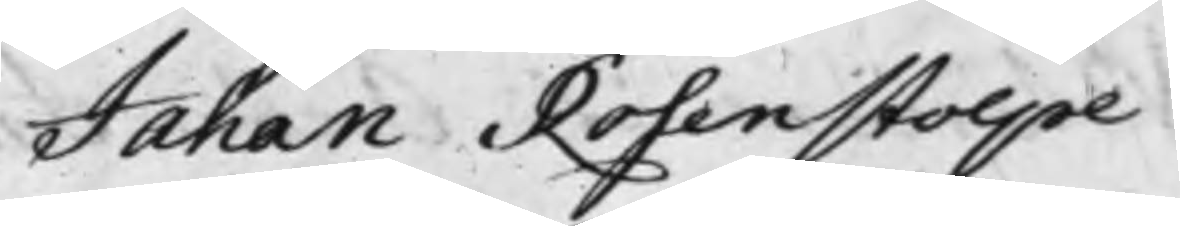Jahan Rosenstolpe
